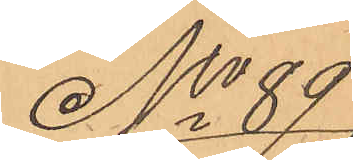No 89
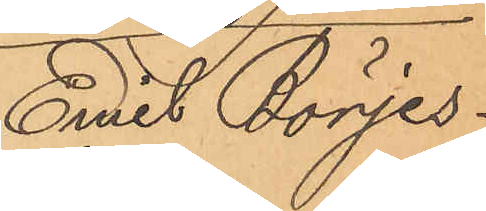Emil Börjes¬
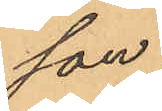son.
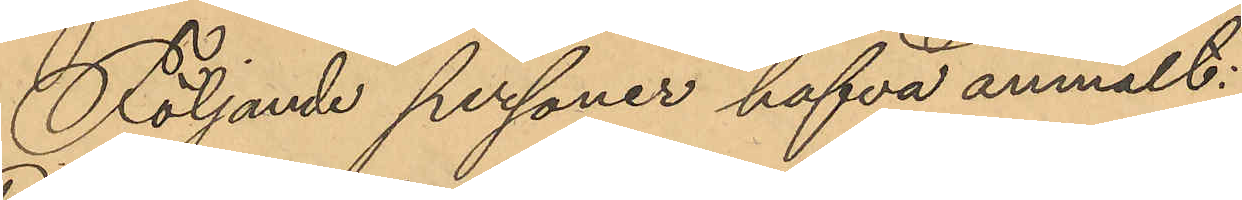Följande personer hafva anmält:
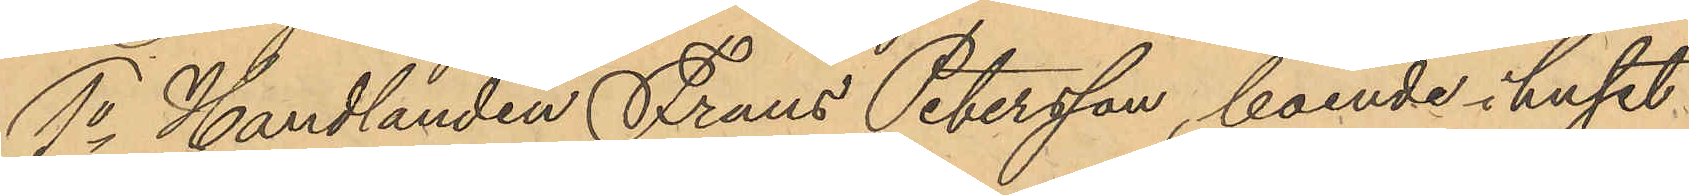1o Handlanden Frans Petersson, boende i huset
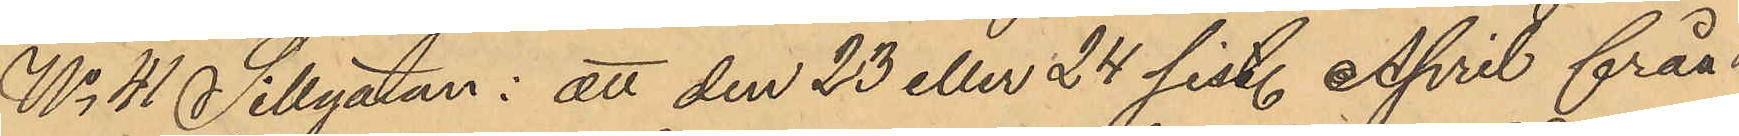No 41 Sillgatan: att den 23 eller 24 sist. April från
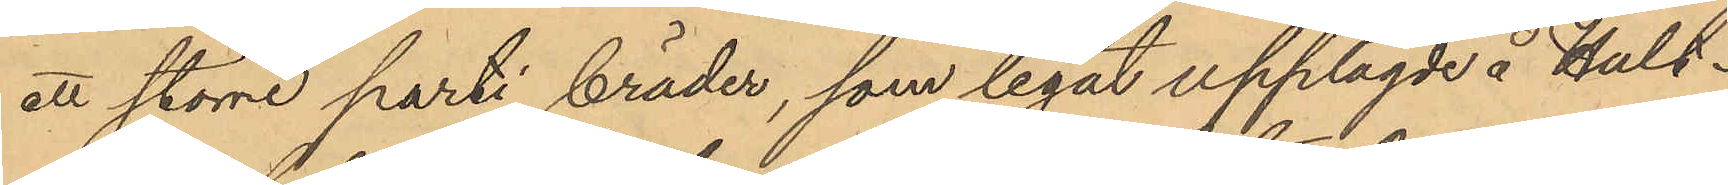ett större parti bräder, som legat upplagde å Hult¬
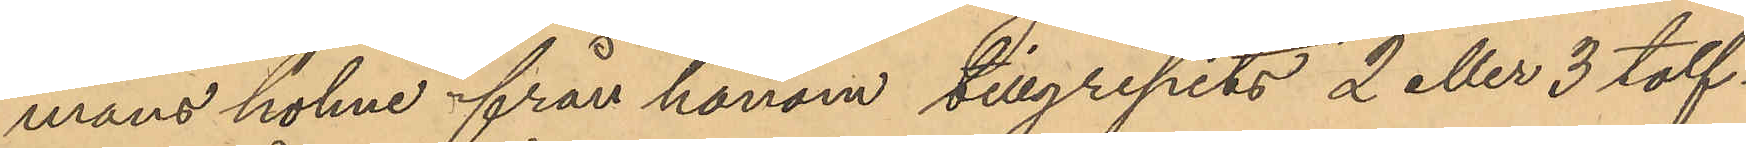mans holme från honom tillgripits 2 eller 3 tolf¬
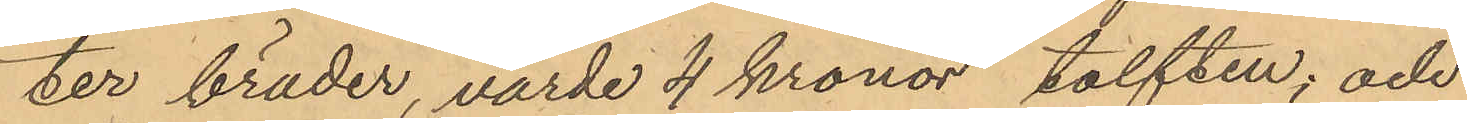ter bräder, värde 4 kronor tolften, och
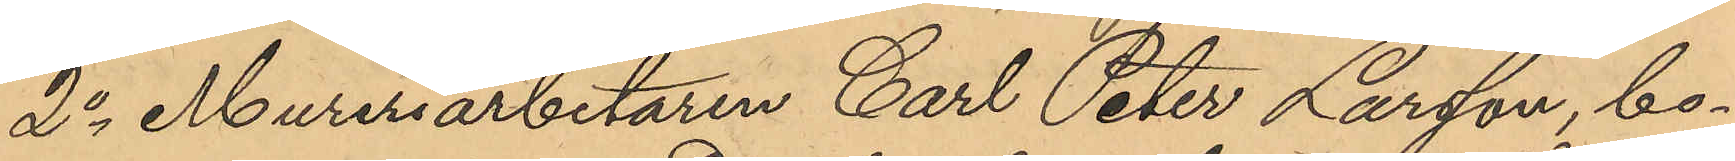2o Mureriarbetaren Carl Peter Larsson, bo¬
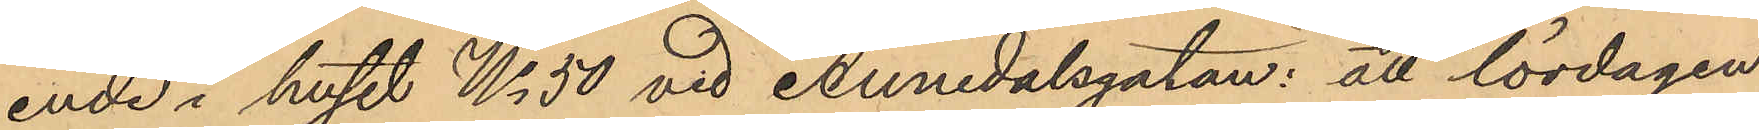ende i huset No 50 vid Annedalsgatan: att lördagen
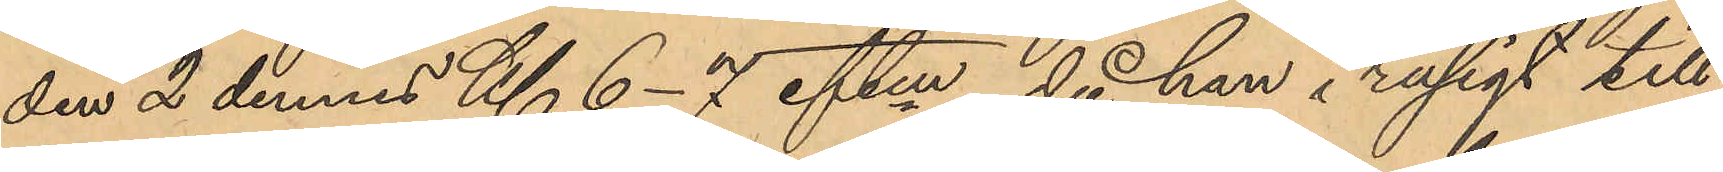den 2 dennes Kl. 6-7 eftm, då han i rusigt till¬
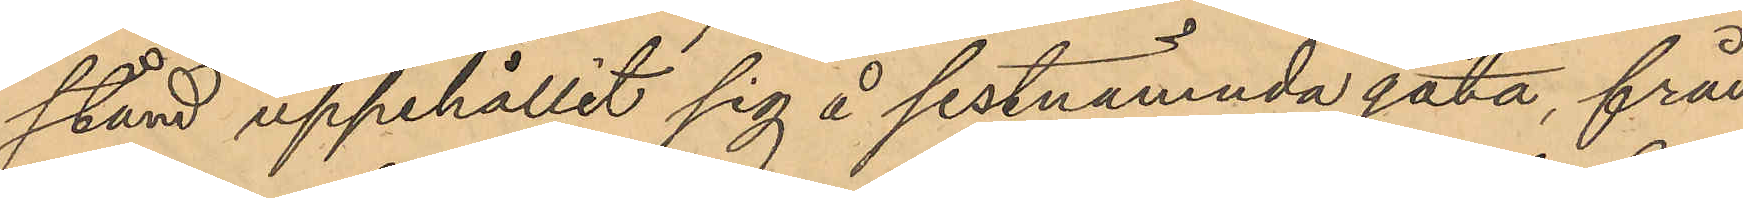stånd uppehållit sig å sistnämnda gata, från
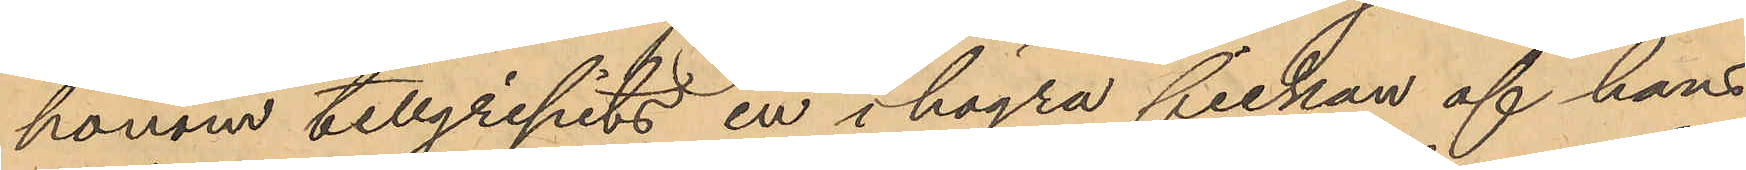honom tillgripits en i högra fickan af hans
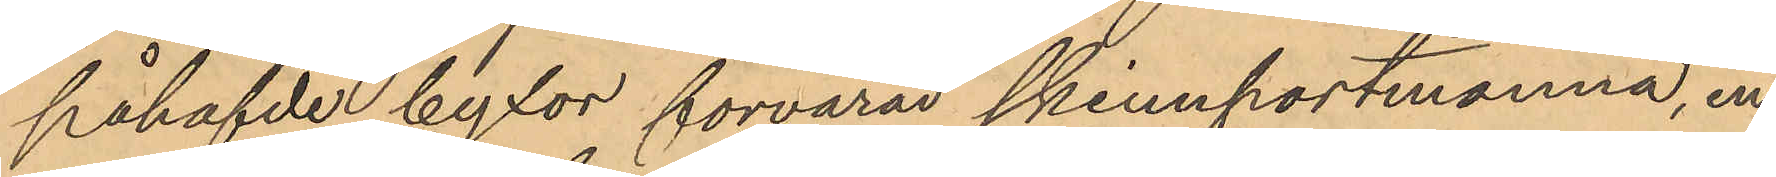påhafvde byxor förvarad skinnportmonnä, in¬
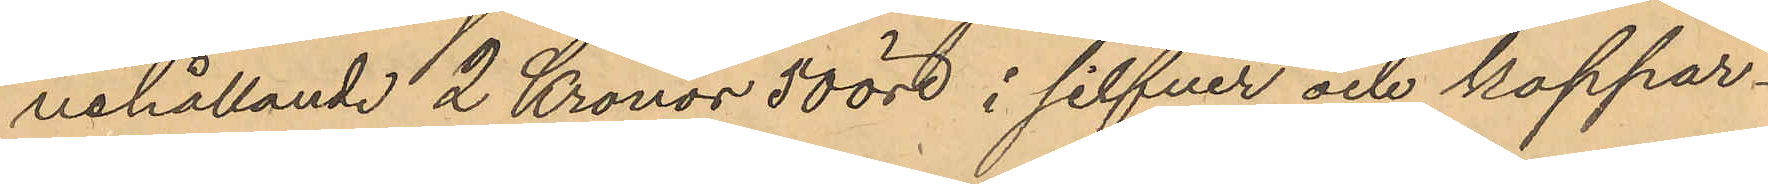nehållande 2 Kronor 50 öre i silfver och koppar¬
